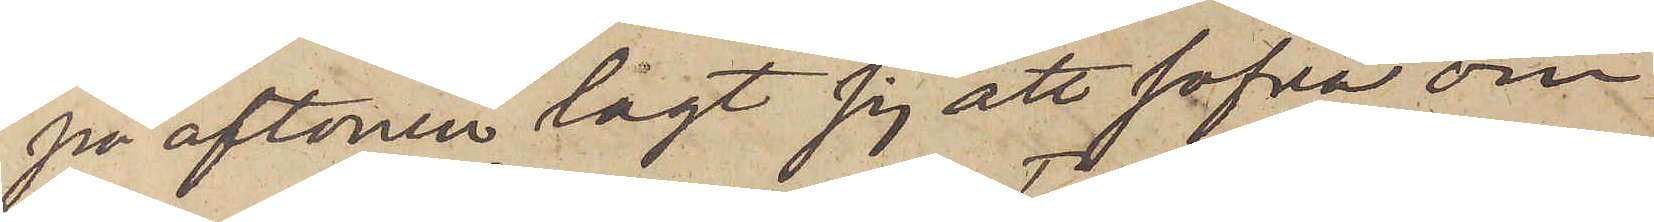på aftonen lagt sig att sofva om¬
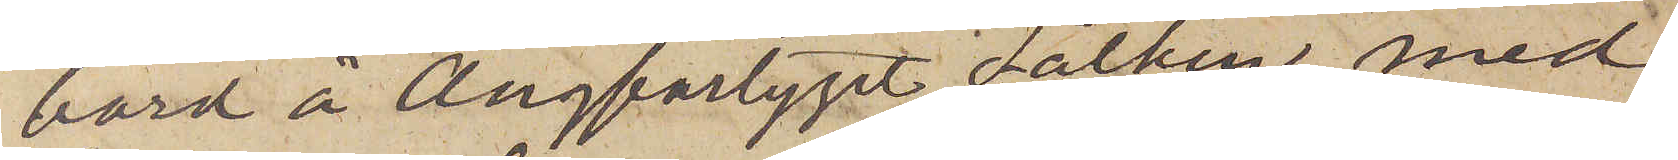bord å Ångfartyget Falken, med
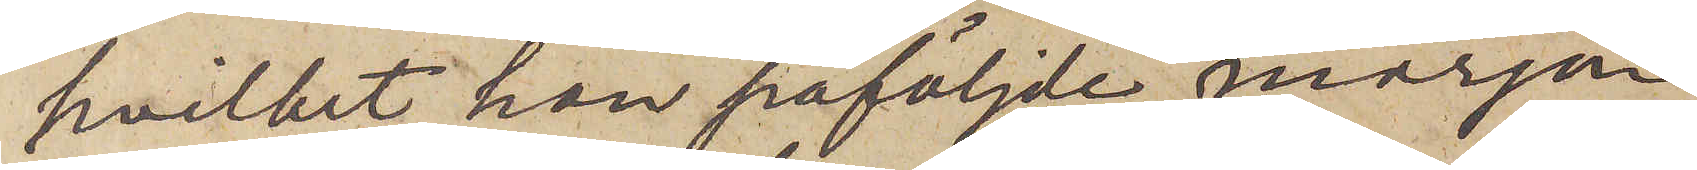hvilket han påföljde morgon
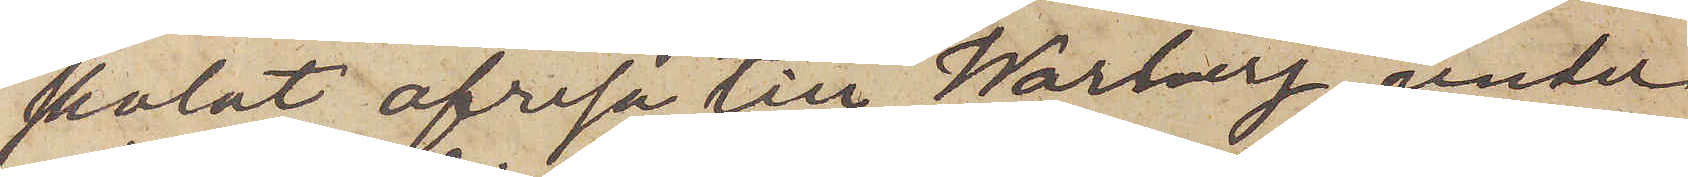skolat afresa till Warberg, under
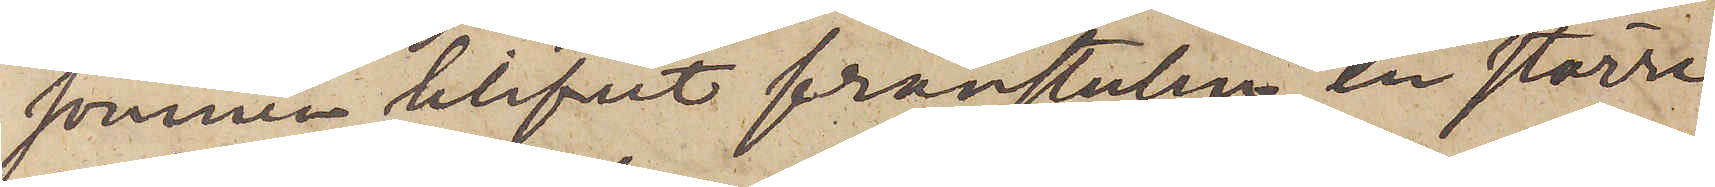sömnen blifvit frånstulen en större
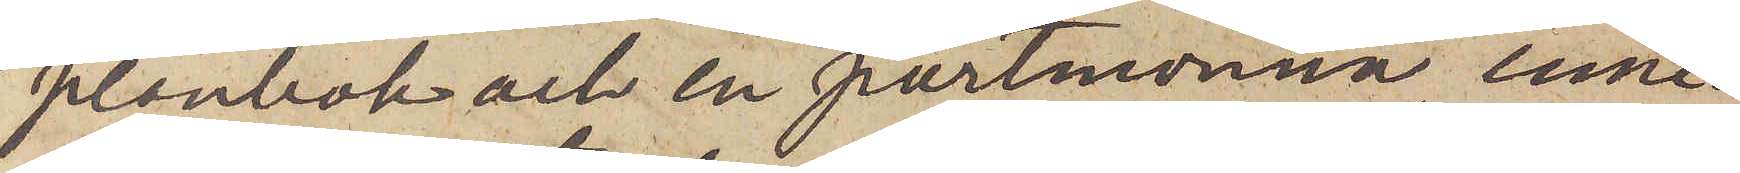plånbok och en portmonnä inne¬
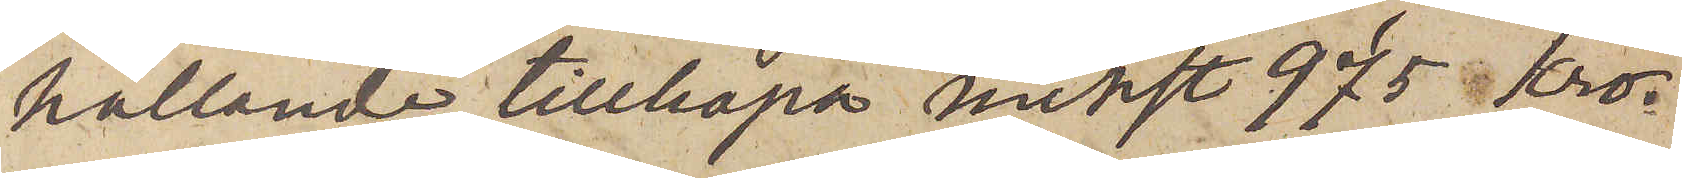hållande tillhopa minst 975 Kron¬
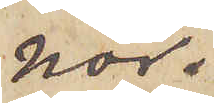nor.
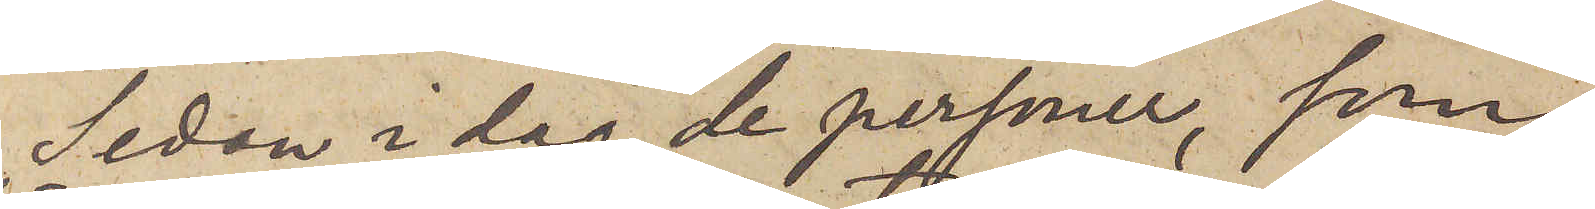Sedan i dag de personer, som
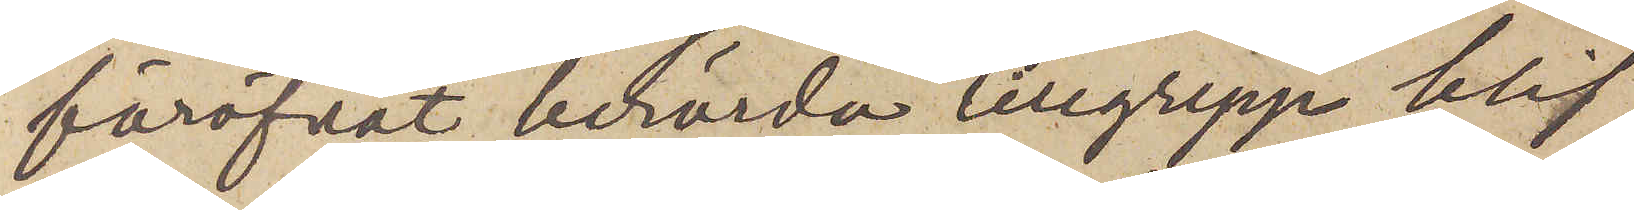föröfvat berörda tillgrepp blif¬
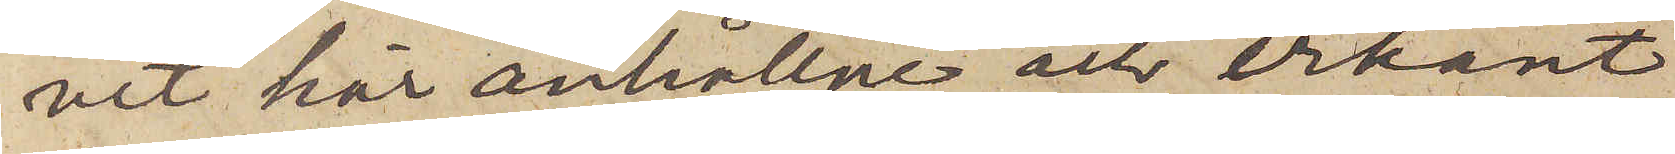vit här anhållne och erkänt
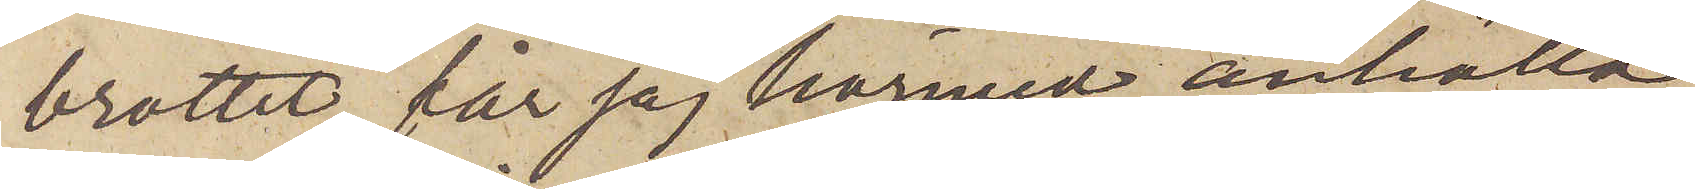brottet, får jag härmed anhålla,
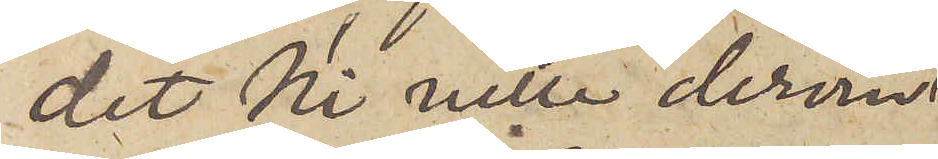det Ni ville derom
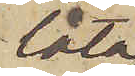låta
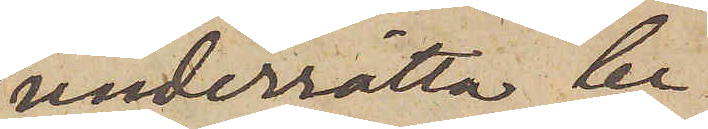underrätta be¬
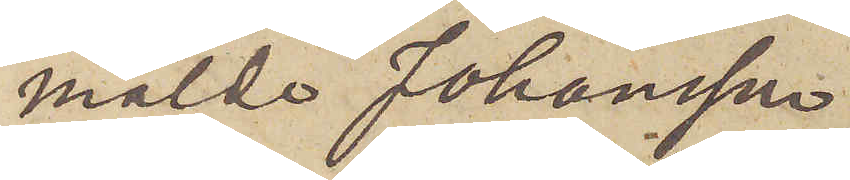mälde Johansson
